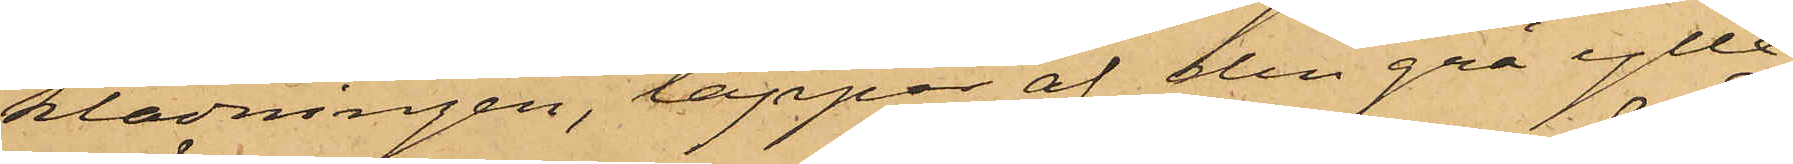klädningen, lappar af den grå ylle¬
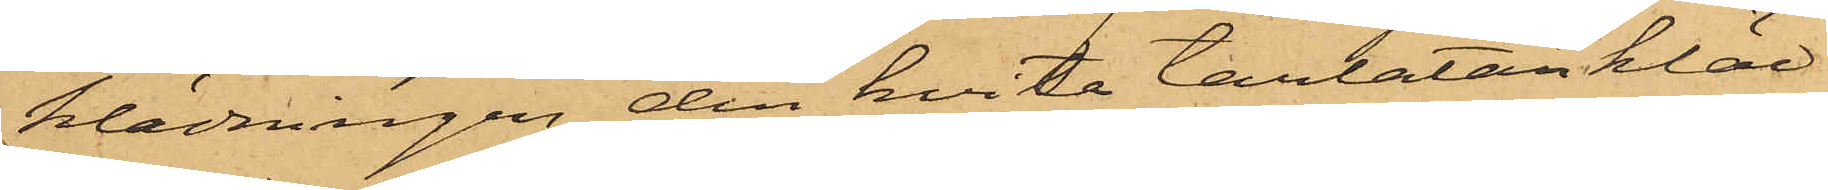klädningen den hvita tarlatankläd¬
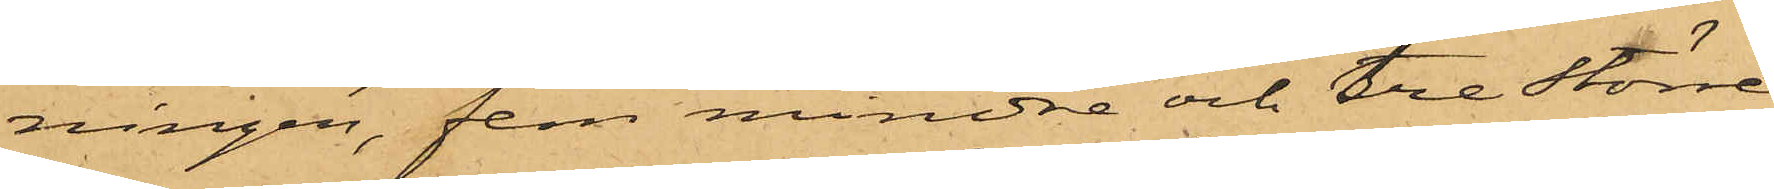ningen, fem mindre och tre större
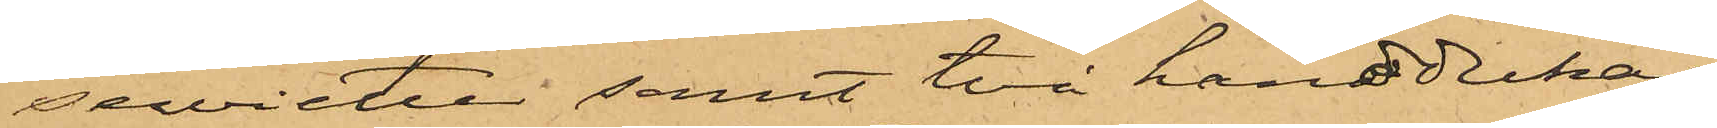servietter samt två handdukar;
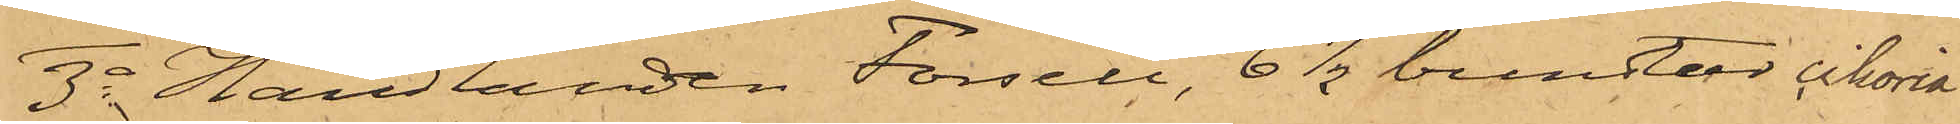3o Handlanden Forsell, 6 1/2 bundtar cikoria
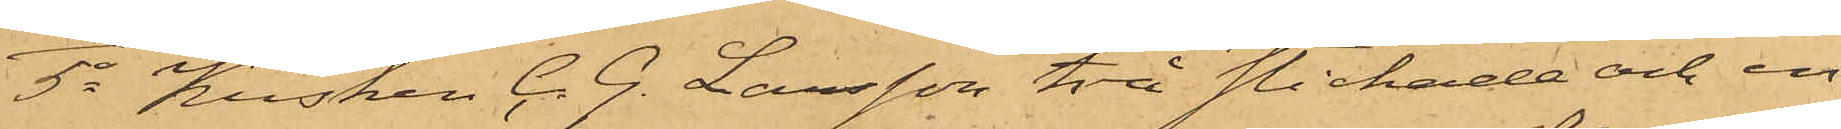5o Kusken C. G. Larsson två stickade och en
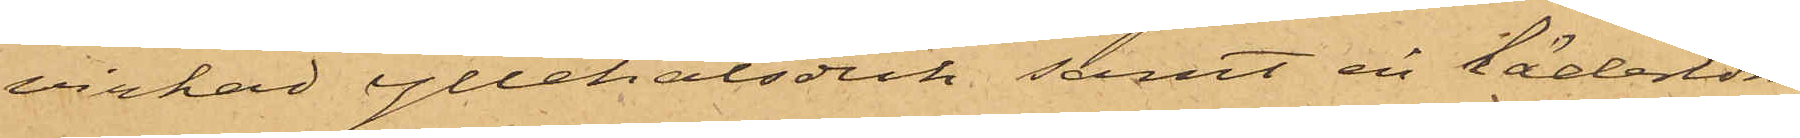virkad yllehalsduk, samt en lädertöm
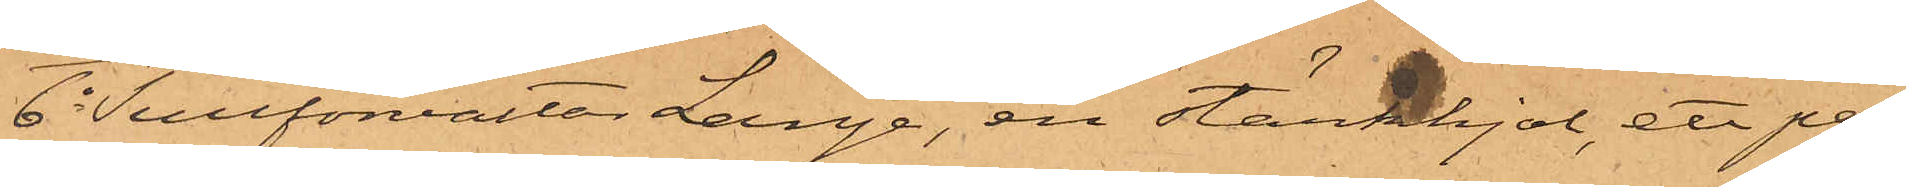6o Tullförvaltar Lange, en stärkkjol, ett par
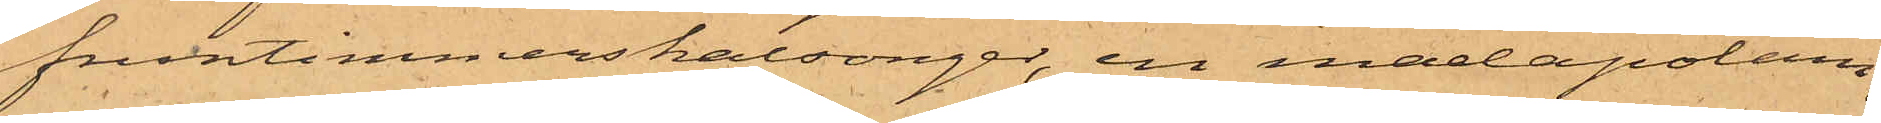fruntimmerskalsonger, en madapolam¬
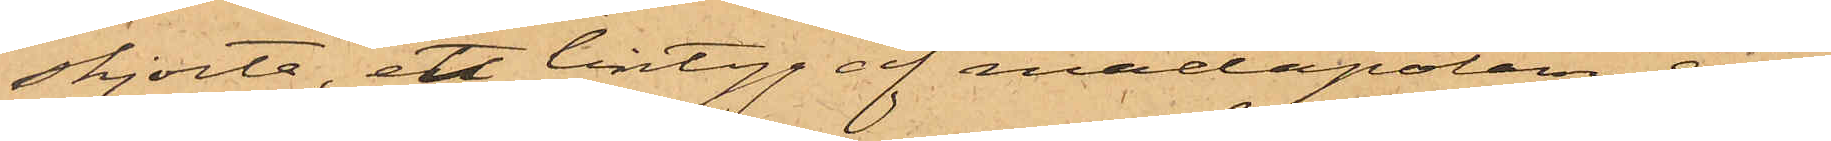skjorta, ett lintyg af madapolam, en
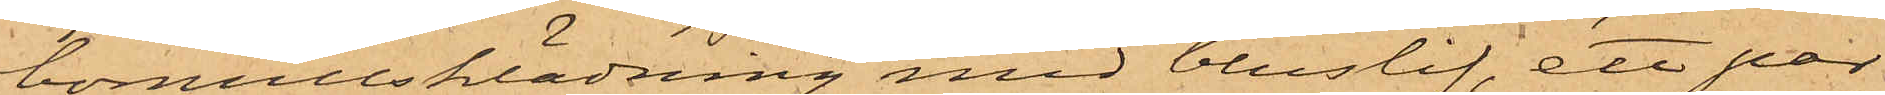bomullsklädning med bluslif, ett par
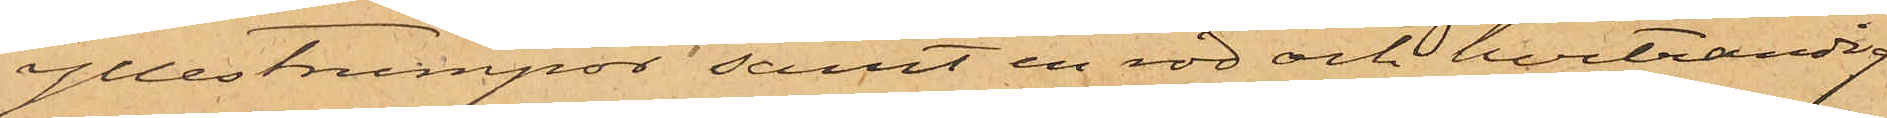yllestrumpor samt en röd och hvitrandig
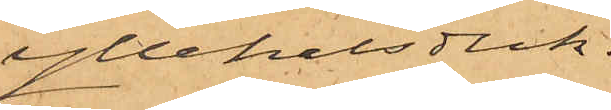yllehalsduk.
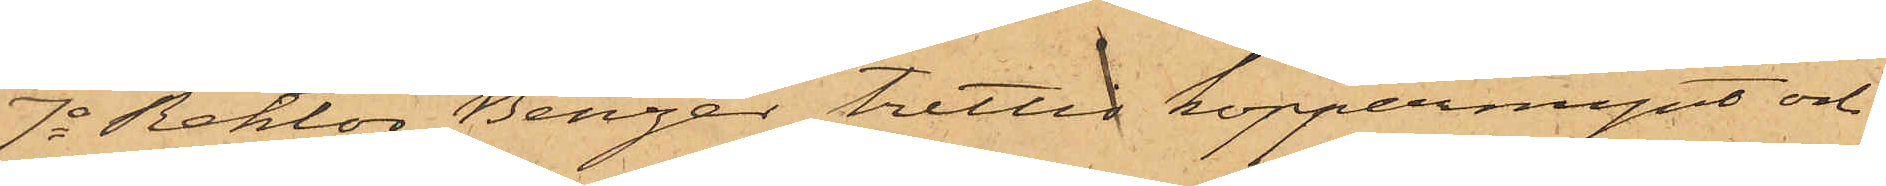7o Rektor Benzer trettio kopparmynt och
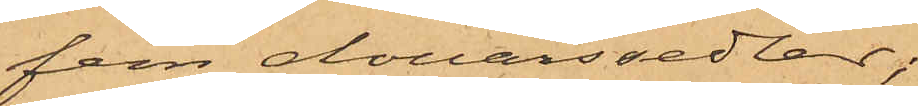fem dollarssedlar;
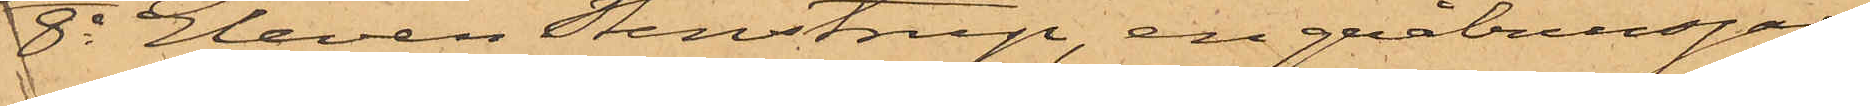8o Eleven Stenstrup, en gråbrunsjal
